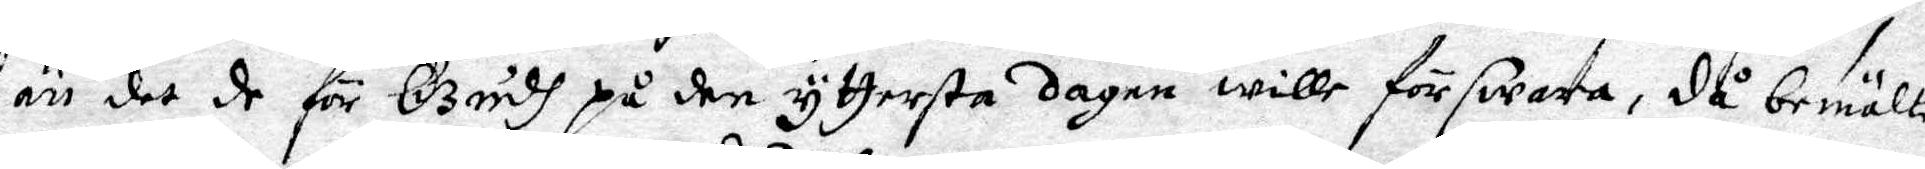än det de för Gudh på den yttersta dagen wille förswara, då bemälte
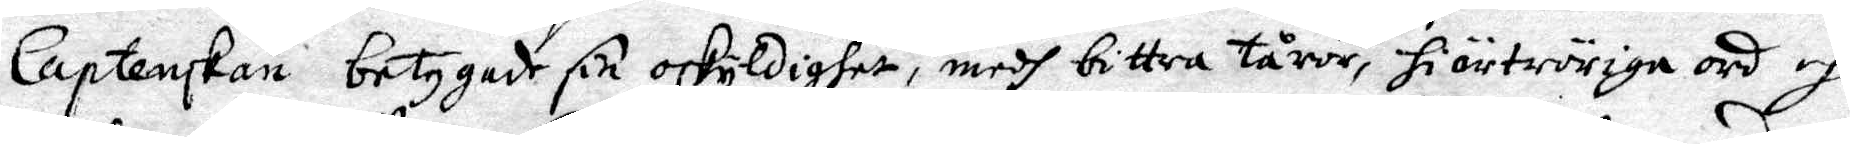Captenskan betygade sin oskyldighet, medh bittra tårar, hiärtwördiga ord och
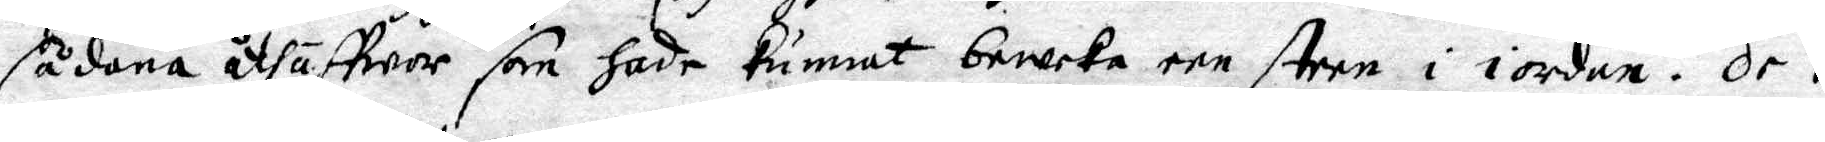sådana åthäffwor som hade kunnat beweka een steen i iorden. De i
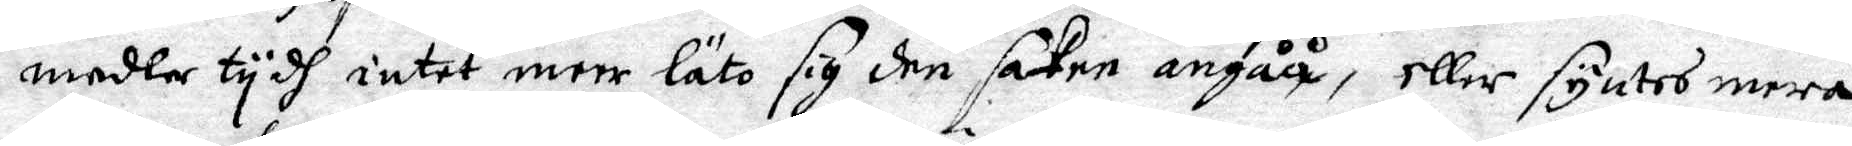medler tydh intet meer läro sig den saken angåå, eller syntes mera
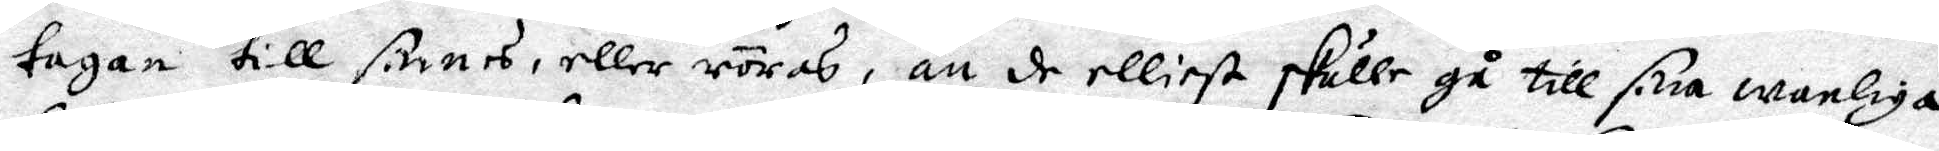tagen till sinnes, eller röras, än de elliest skulle gå till sina wanliga
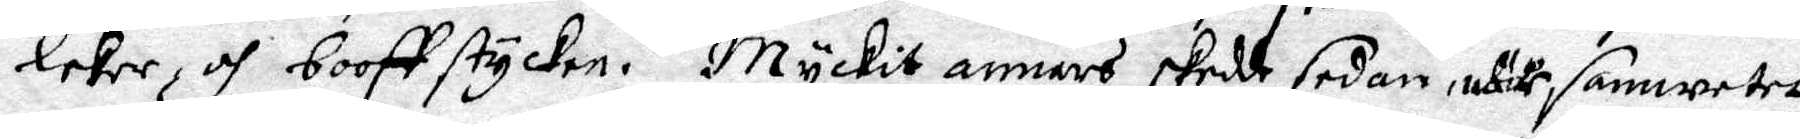lekar och booffstycken. Myckit annars skedde sedan, utur samweret
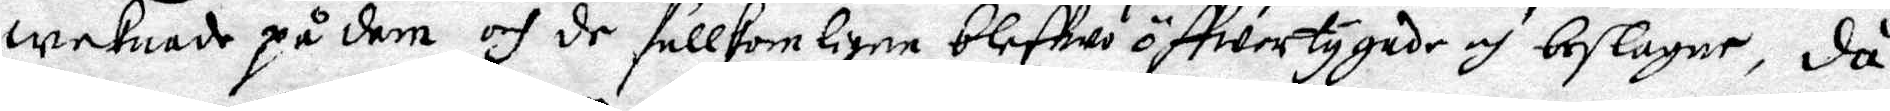waknade på dem och de fullkomligne bleffwo öffwertygade och beslagne, då
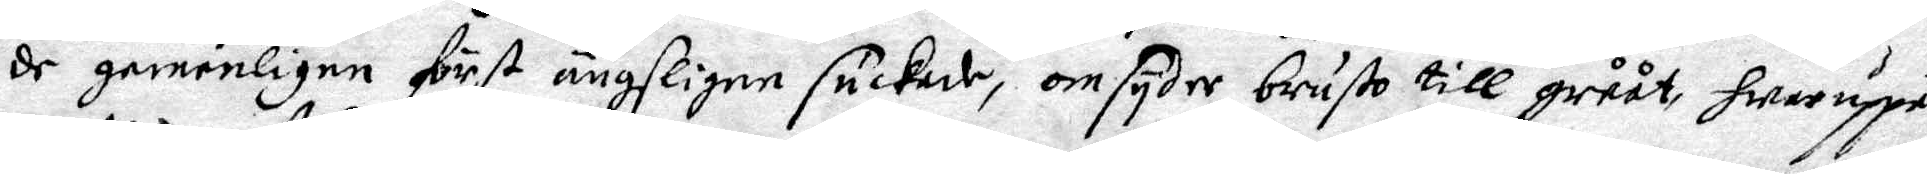de gemenligen först ängsligen suckade, omsyder brusto till grååt, hwaruppå
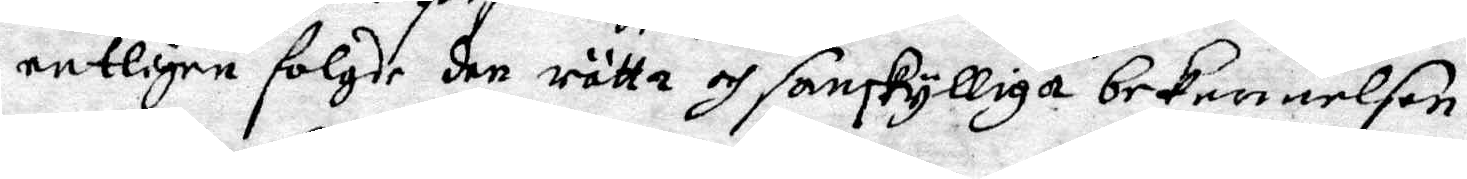enteligen folgde den rätta och sanskylliga bekennelsen.
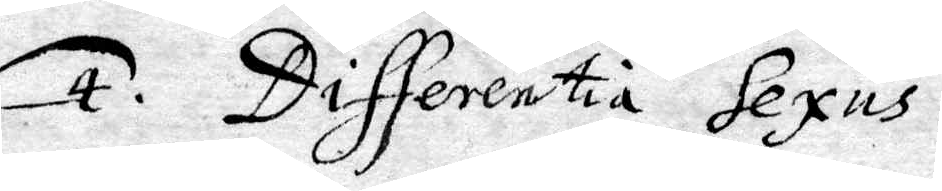4. Differentia Sexus.
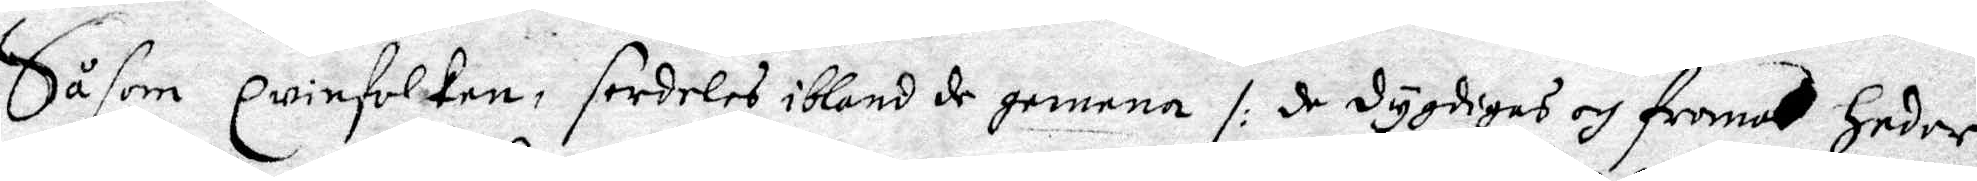Såsom qwinfolken, serdeles ibland de gemena /: de dygdigas och froma heder
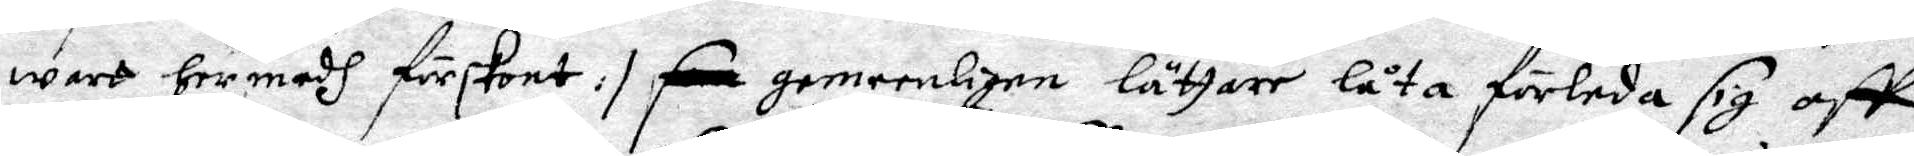wart hermedh förskont :/ gemeenligen lättare låta förleda sig att 
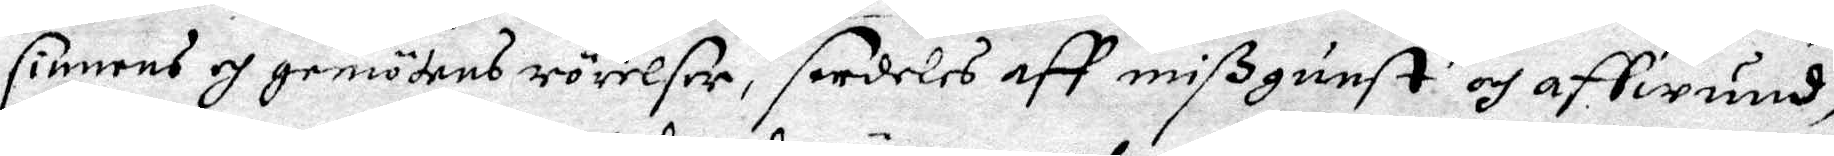sinnens ochgemötens rörelser, serdeles aff mißgunst och affwund,
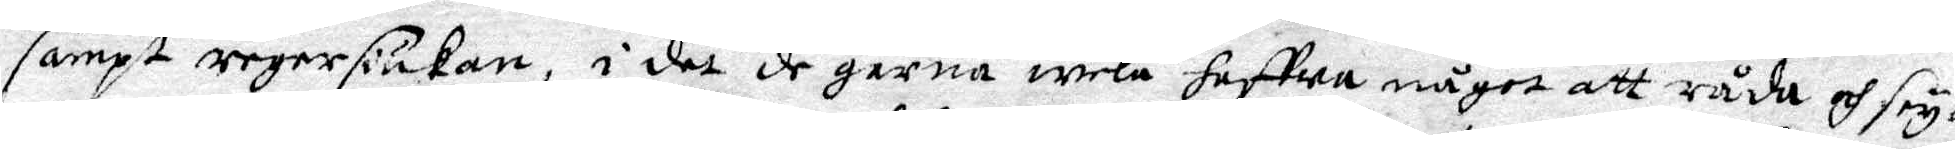sampt regersiukan, i det de gärna wela haffwa något att råda och frya
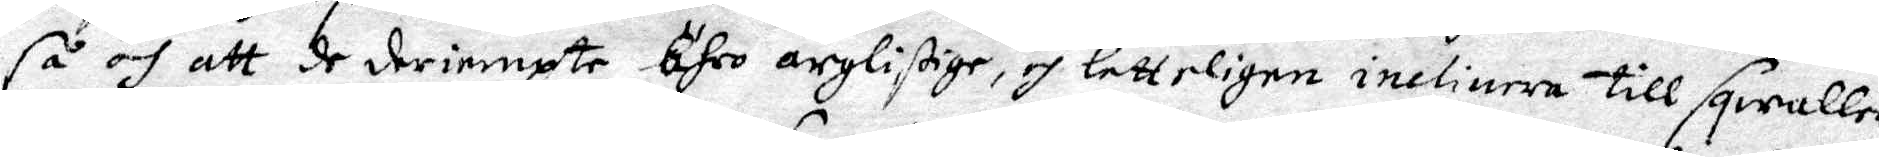så och att de deriempte Ähro arglistige, och letterligen ineliuera till sqwaller
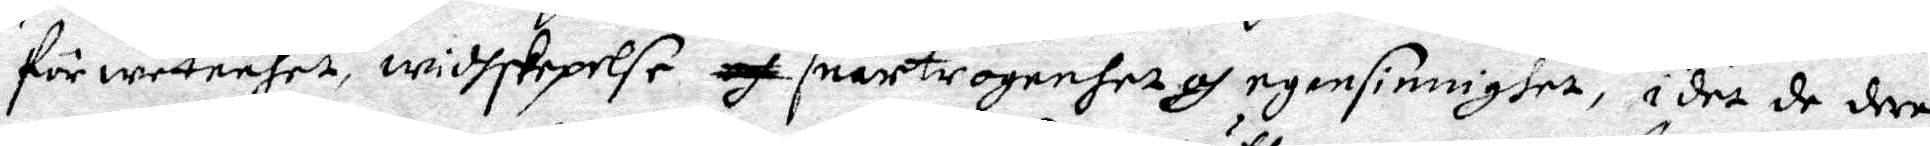för weteenhet, widhskepelse och snartrogenhet och egensinnighet, i det de deras
